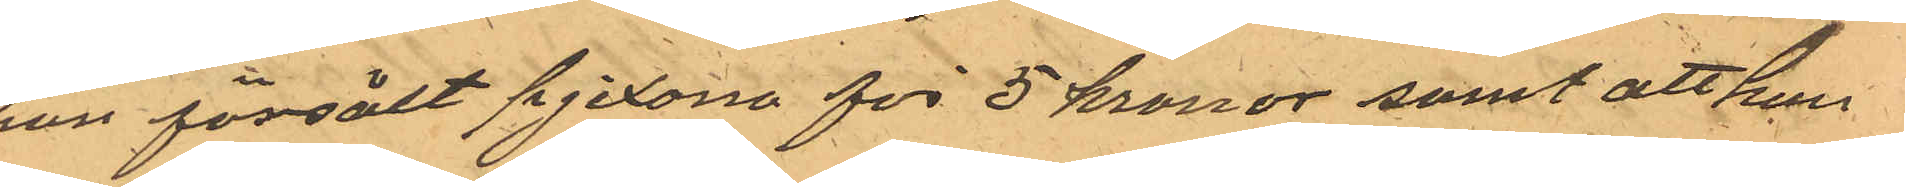han försålt pjexorna för 5 kronor samt att han
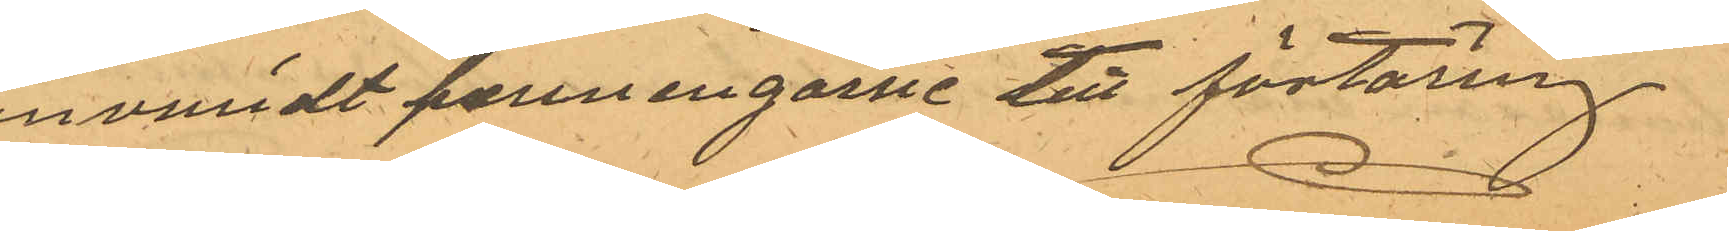användt penningarne till förtäring
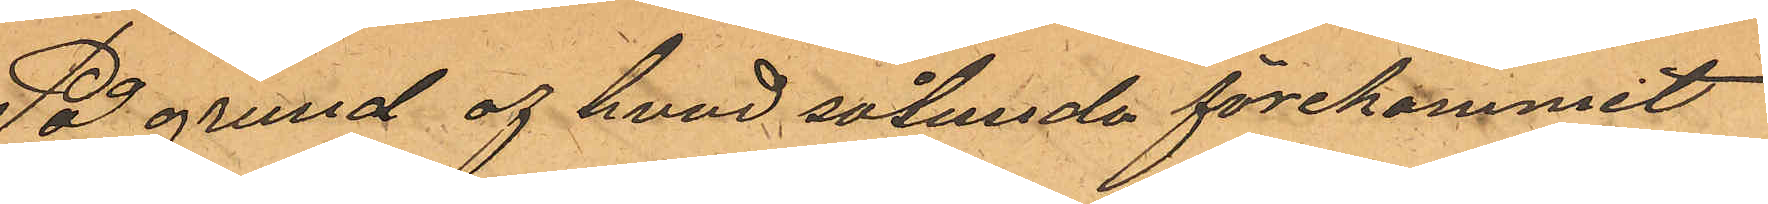På grund af hvad sålunda förekommit
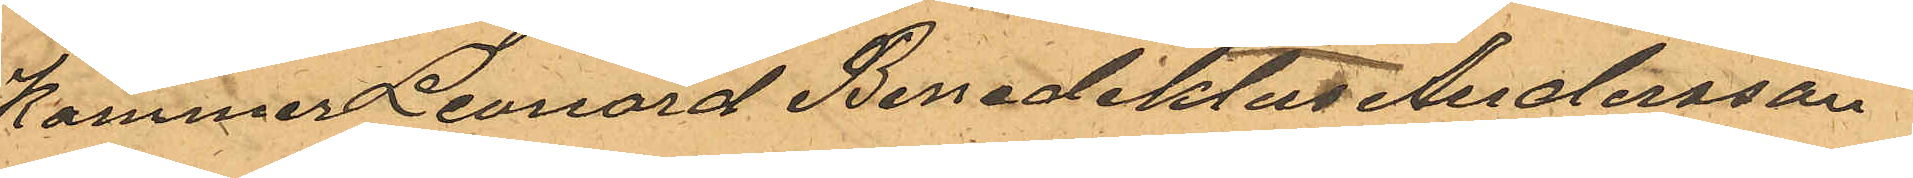Kommer Leonard Benediktus Andersson
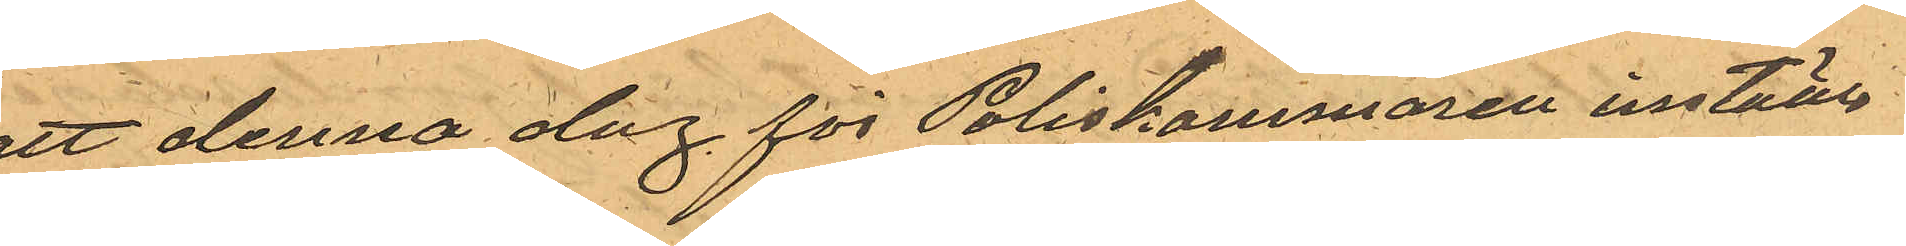att denna dag för Poliskammaren inställa
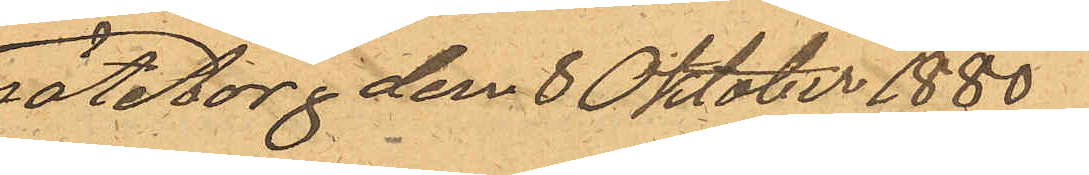Göteborg den 8 Oktober 1880.
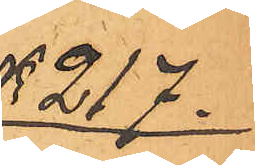No 217.
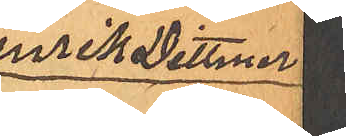Henrik Dittmer
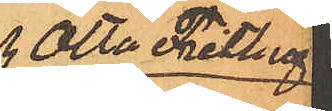och Otto Frithiof
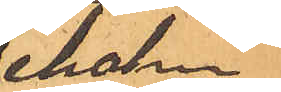Seholm
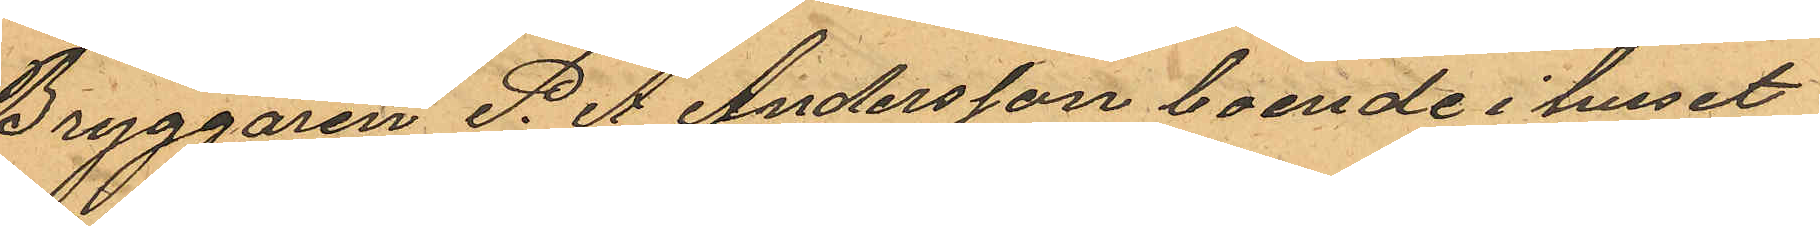Bryggaren P. A Andersson boende i huset
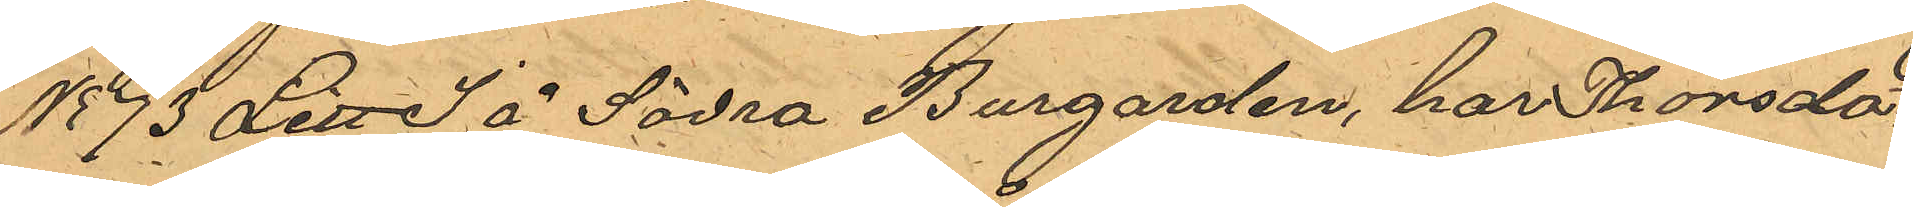No 73 Litt S å Södra Burgarden, har Thorsda¬
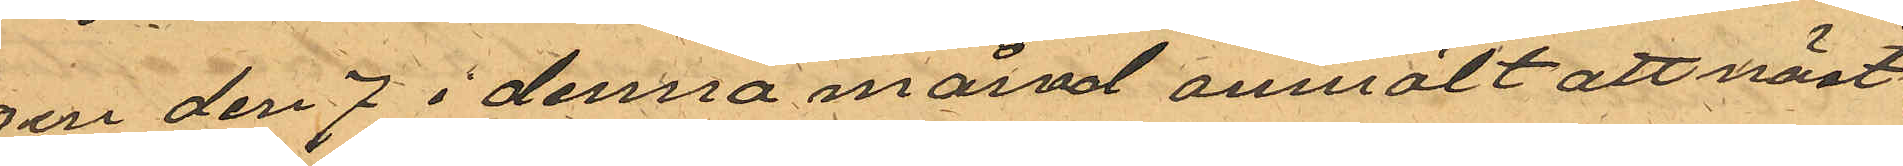gen den 7 i denna månad anmält att näst¬¬
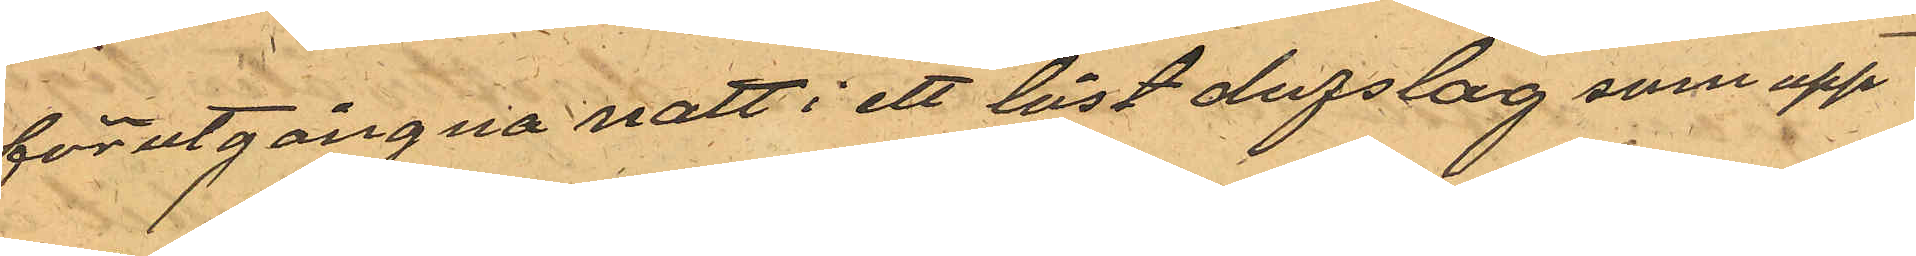förutgångna natt i ett låst dufslag som upp¬
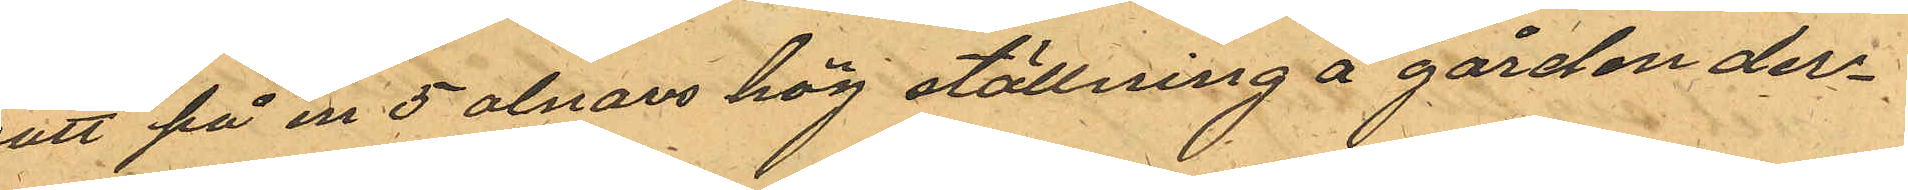satt på en 5 alnars hög ställning å gården der¬
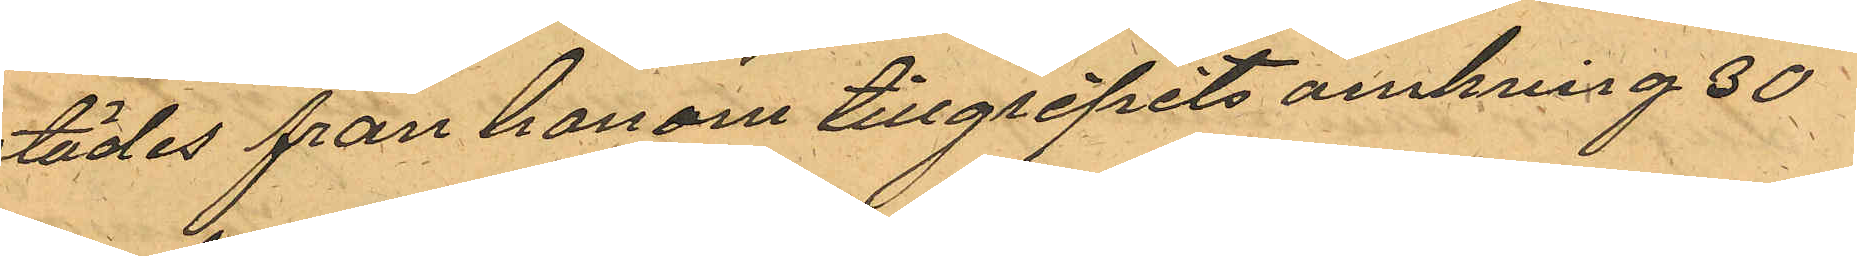städes fran honom tillgripits omkring 30
